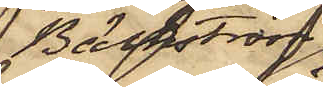Bäckström
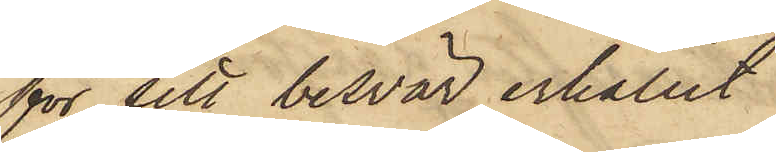för sitt besvär erhållit
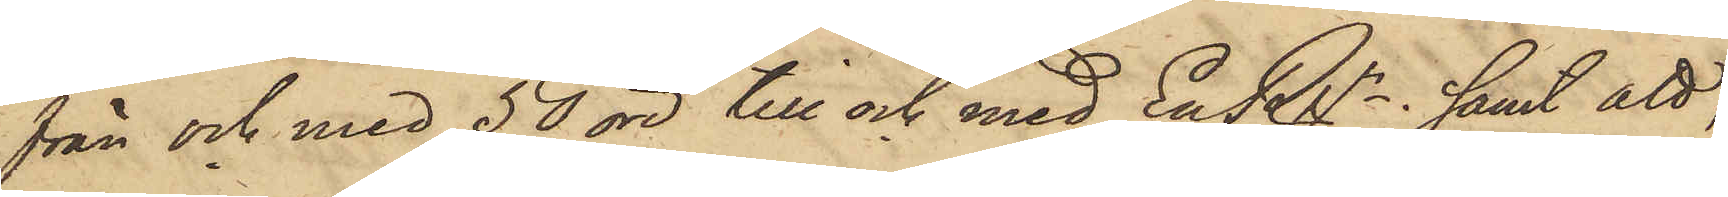från och med 50 öre till och med En Rgr; samt att,
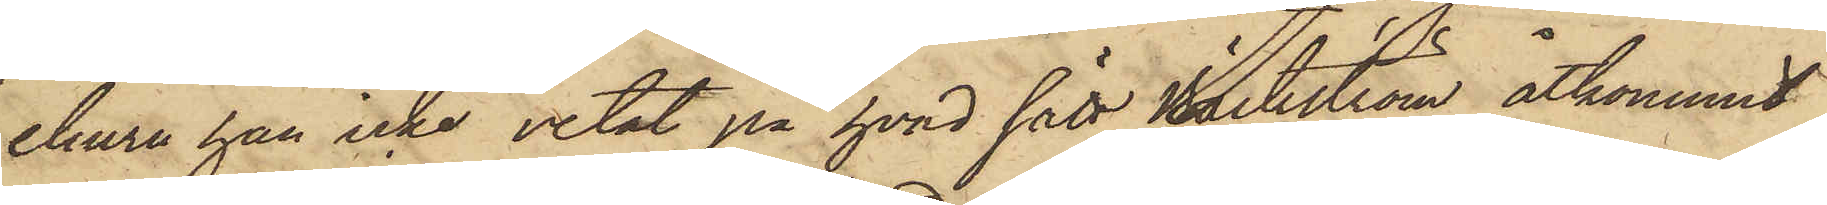ehuru han icke vetat på hvad sätt Bäckström åtkommit
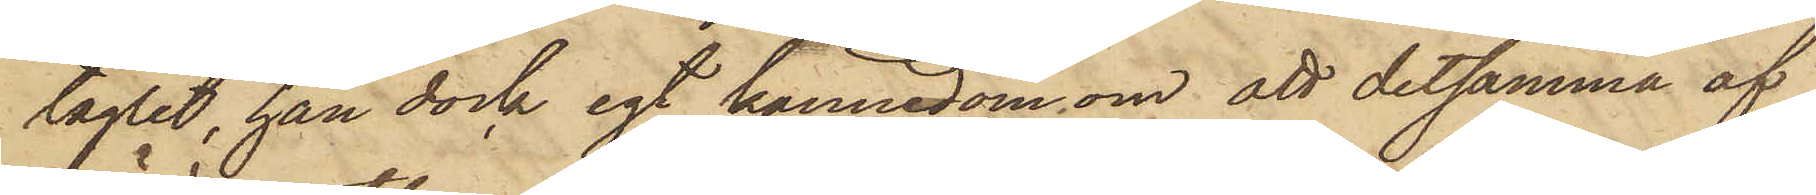taglet, han dock egt kännedom om att detsamma af
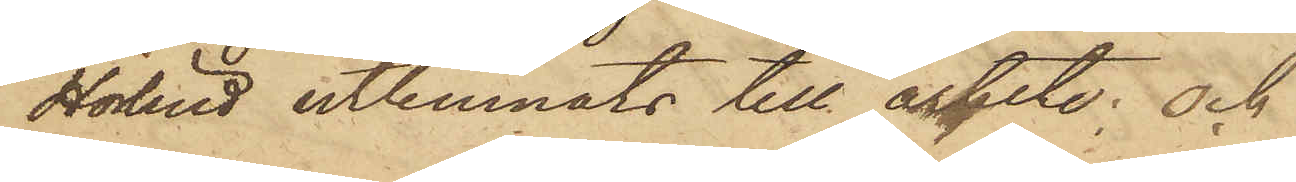Hörlind utlemnats till arbete; och
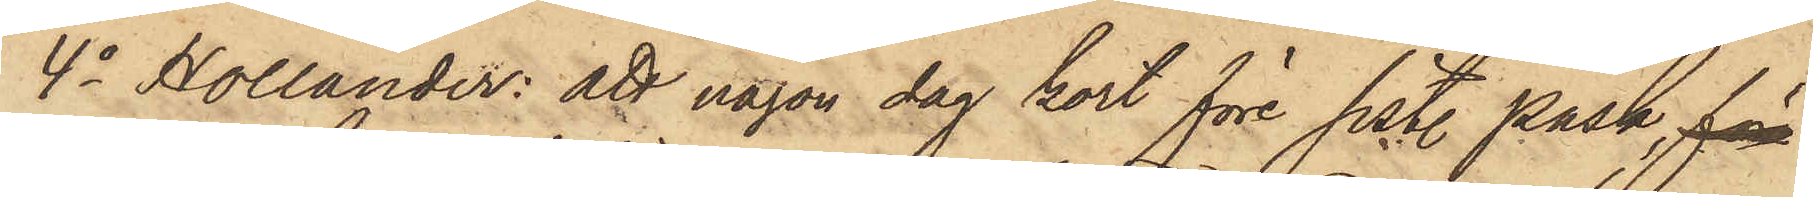4o Hollander: att någon dag kort före sistl. Påsk, för
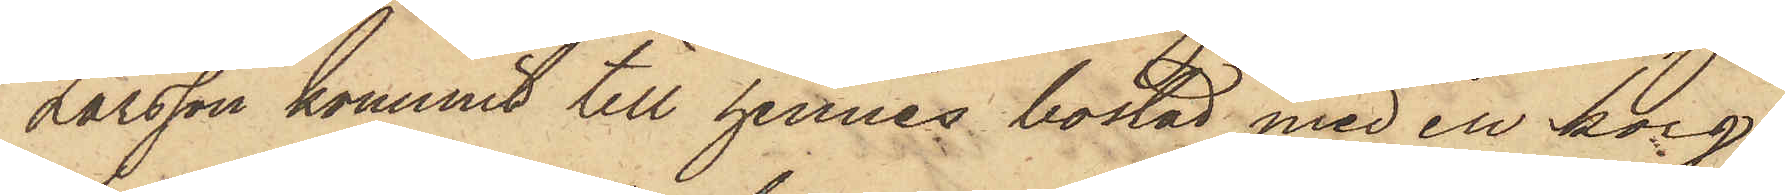Larsson kommit till hennes bostad med en korg,
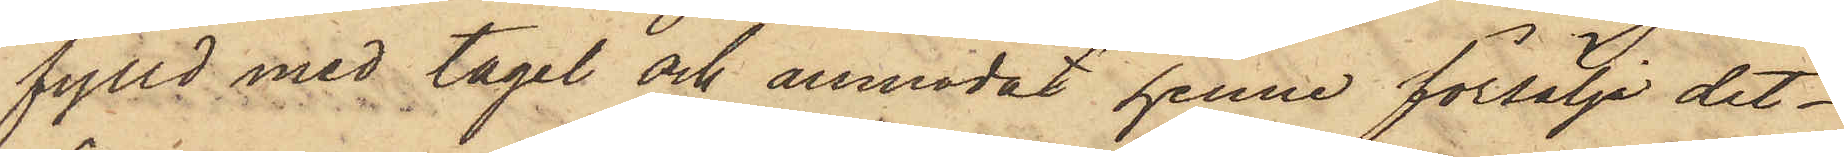fylld med tagel och anmodat henne försälja det¬
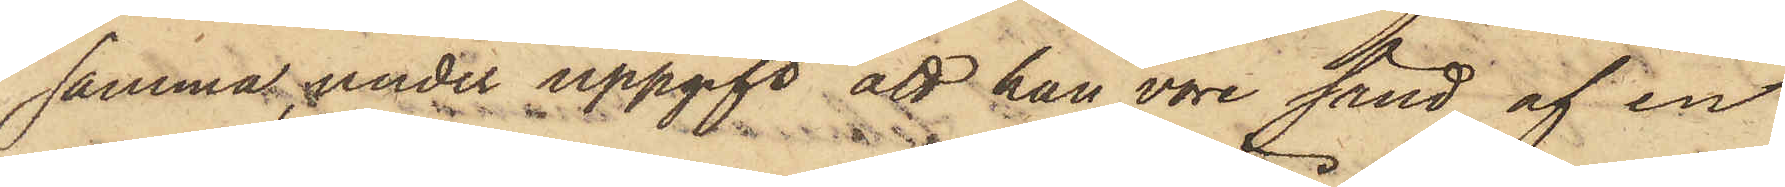samma, under uppgift att han vore sänd af en
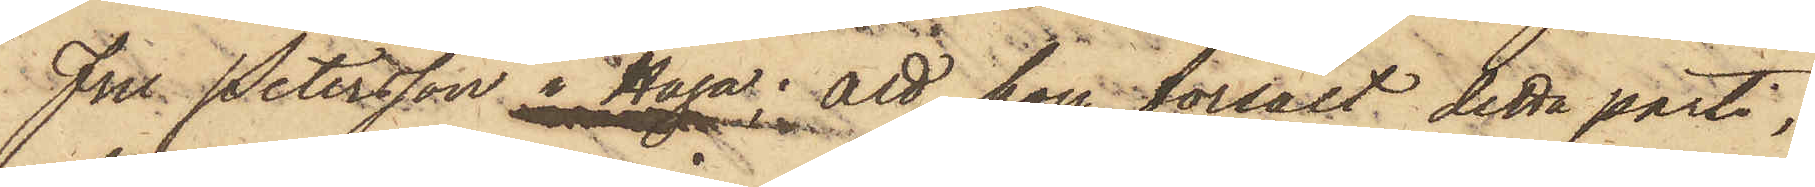Fru Petersson i Haga; att hon försålt detta parti,
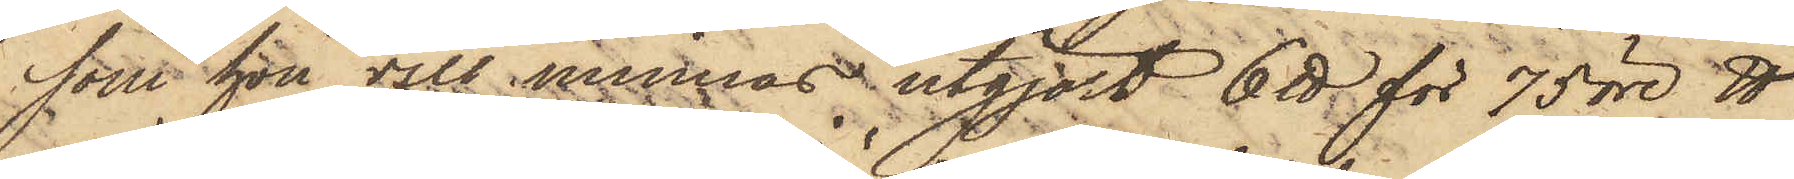som hon vill minnas utgjort 6 ℔ för 75 öre ℔
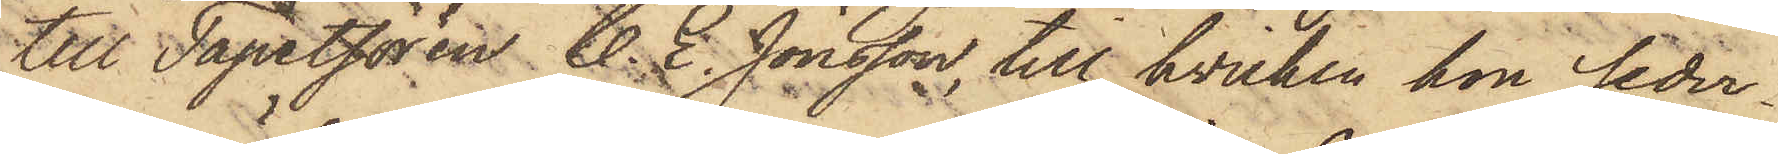till Tapetsören C. E. Jönsson, till hvilken hon seder¬
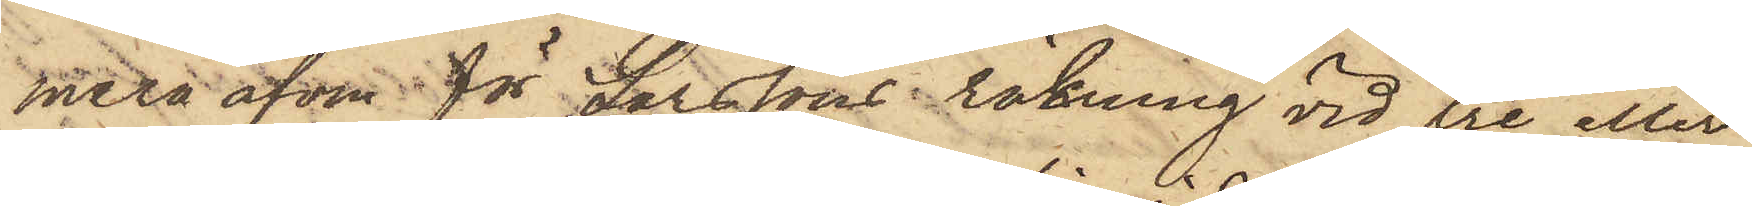mera äfven för Larssons räkning vid tre eller
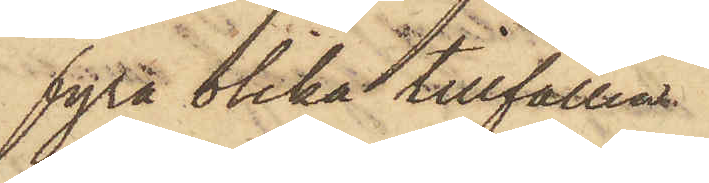fyra olika tillfällen
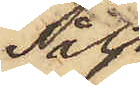sålt
